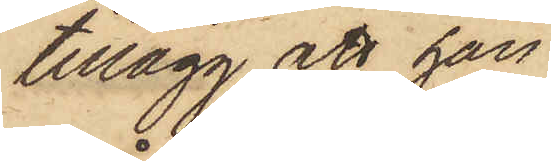tillägg att han
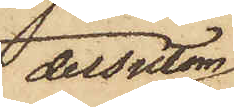dessutom
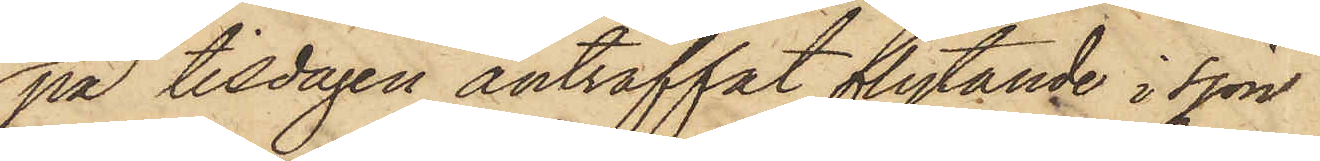på tisdagen anträffat flytande i sjön
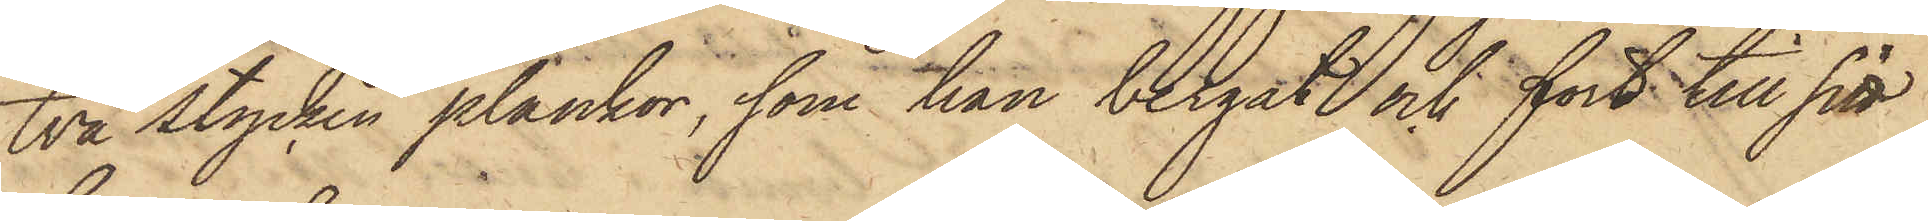två stycken plankor, som han bergat och fört till sitt
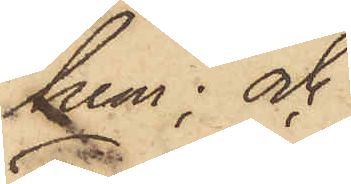hem; och
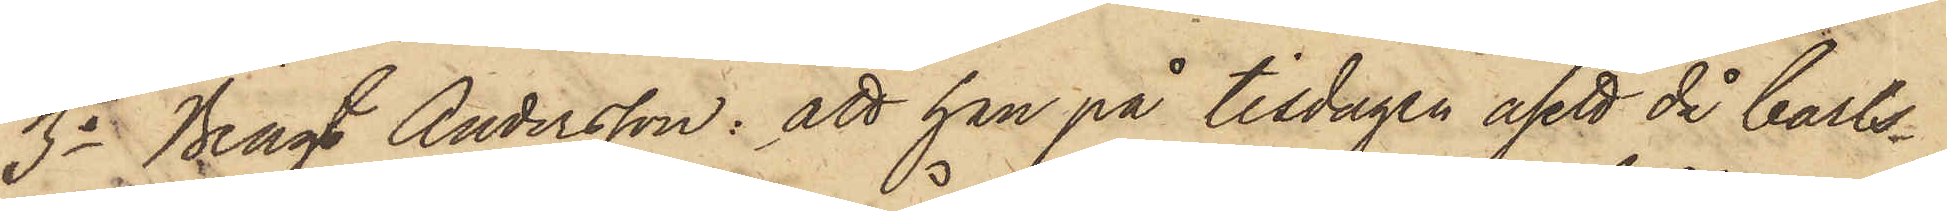3o Bengt Andersson: att han på tisdagen åsett då Carls¬
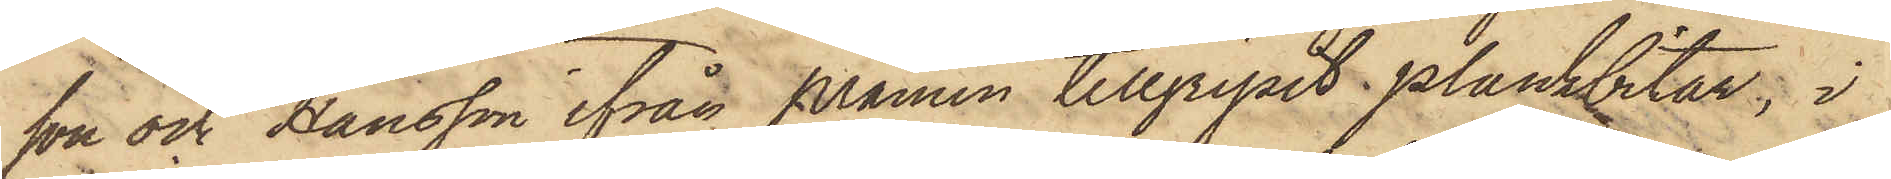son och Hansson ifrån pråmen tillgripit plankbitar; i
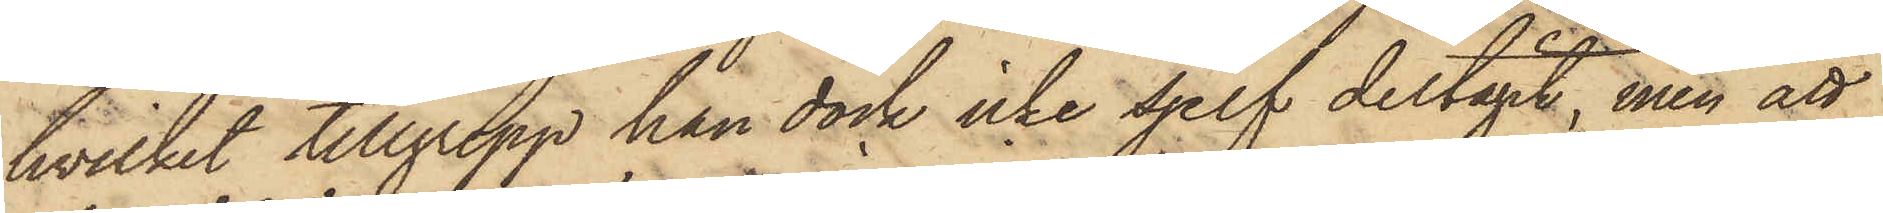hvilket tillgrepp han dock icke sjelf deltagit, men att
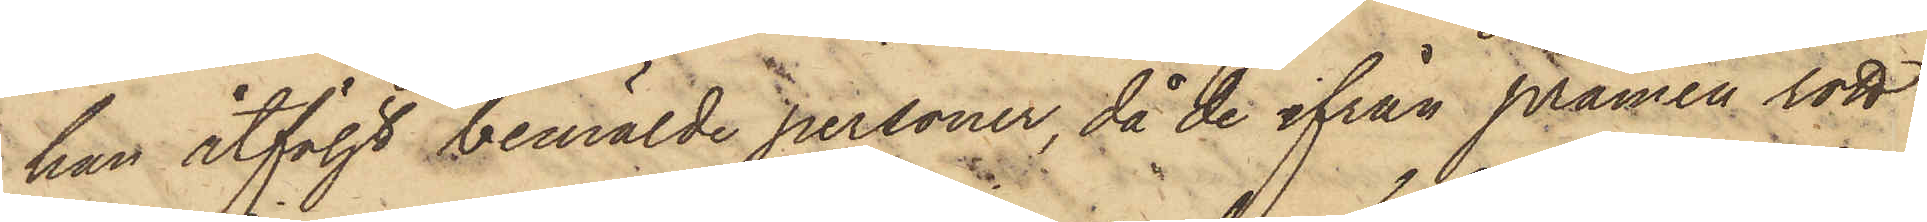han åtföljt bemälde personer, då de ifrån pråmen rott
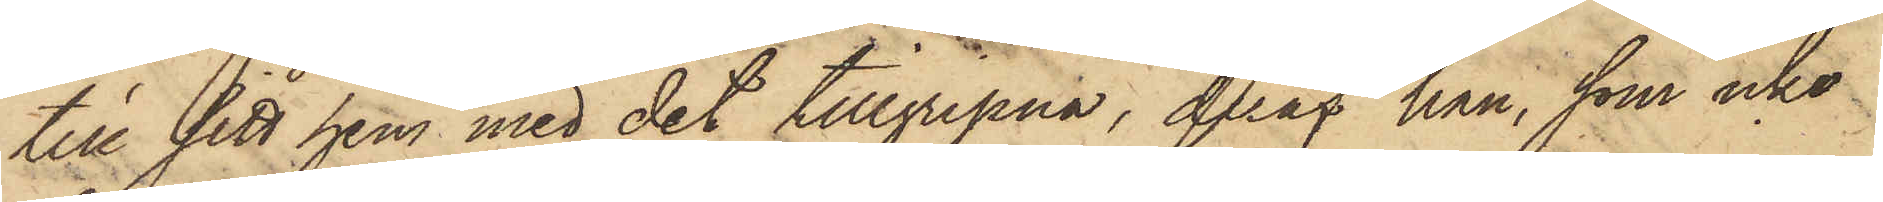till sitt hem med det tillgripna, deraf han, som icke
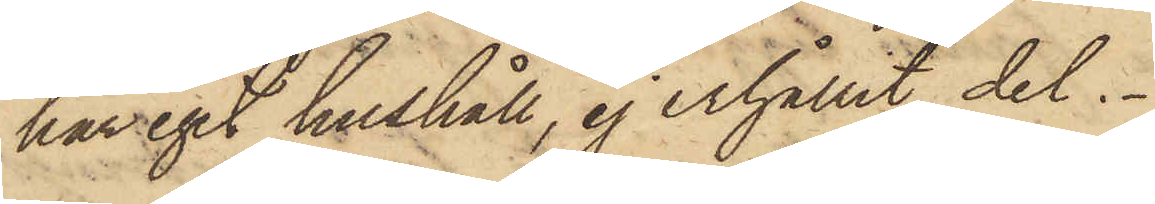har eget hushåll, ej erhållit del.
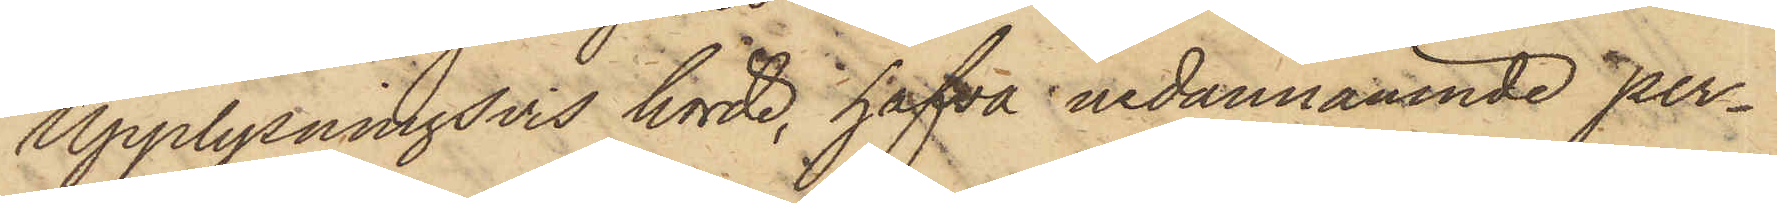Upplysningsvis hörde, hafva nedannämnde per¬
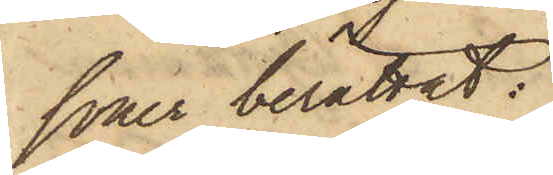soner berättat:
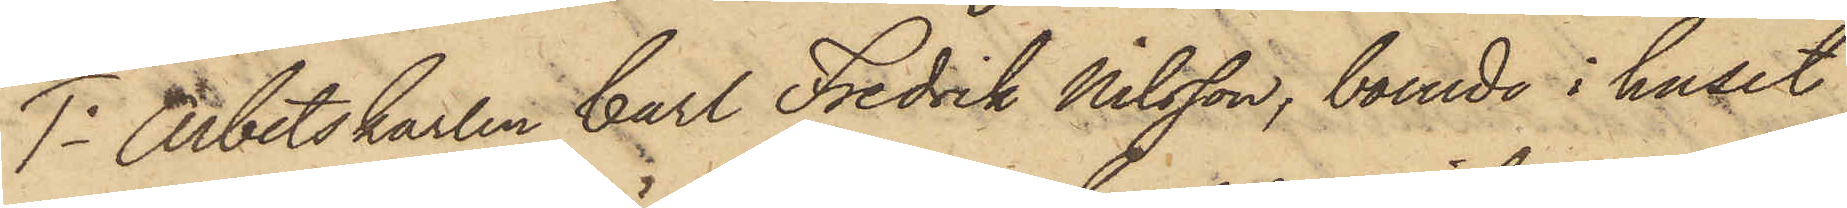1o Arbetskarlen Carl Fredrik Nilsson, boende i huset
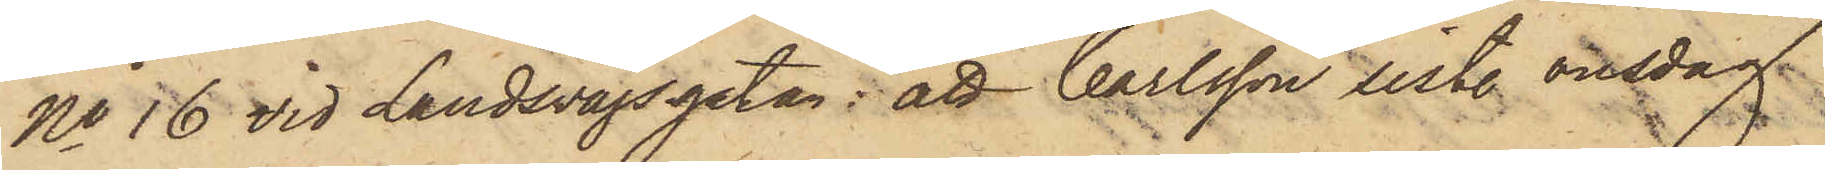No 16 vid Landsvägsgatan: att Carlsson sistl. onsdag
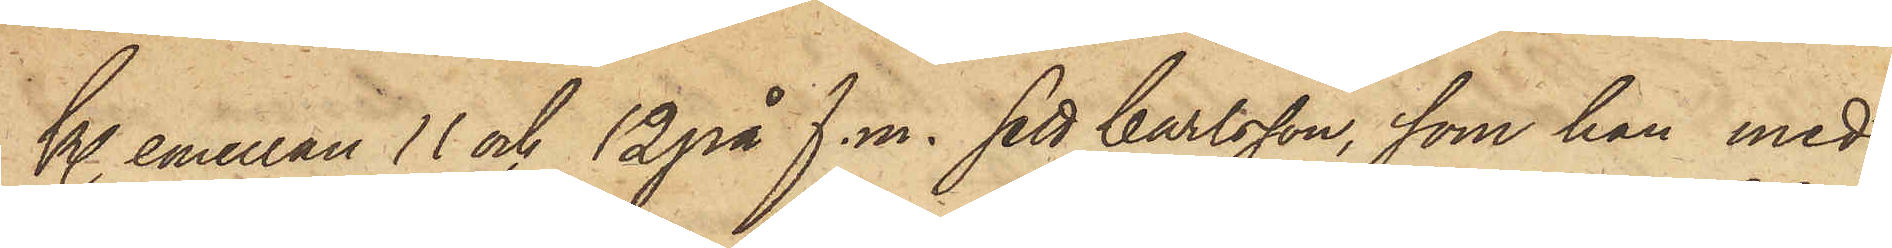kl. emellan 11 och 12 på f.m. sett Carlsson, som han med
